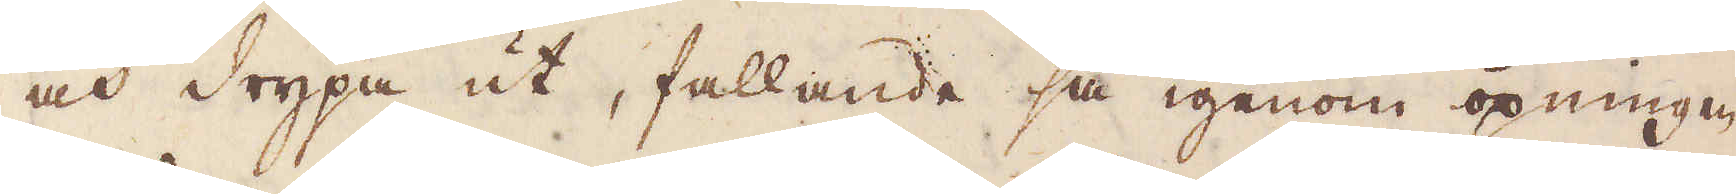och drypa ut, fallande så igenom öpningen
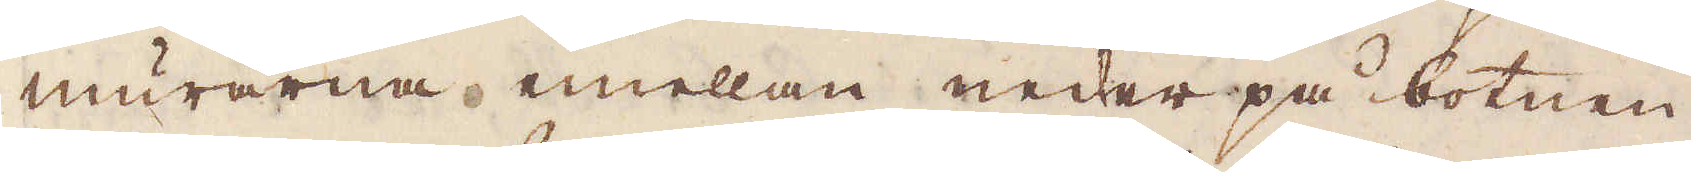murarna mellan neder på botnen
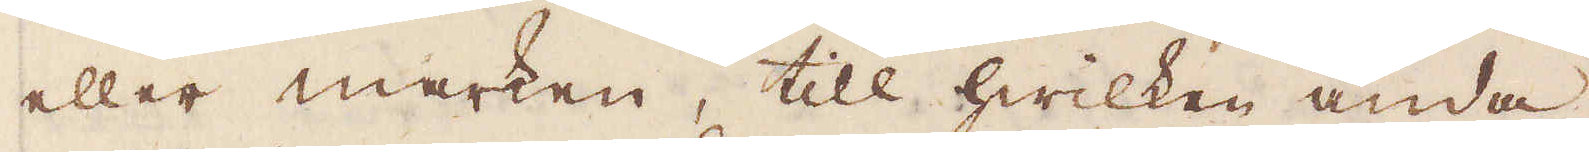eller marken, till hwilken ända
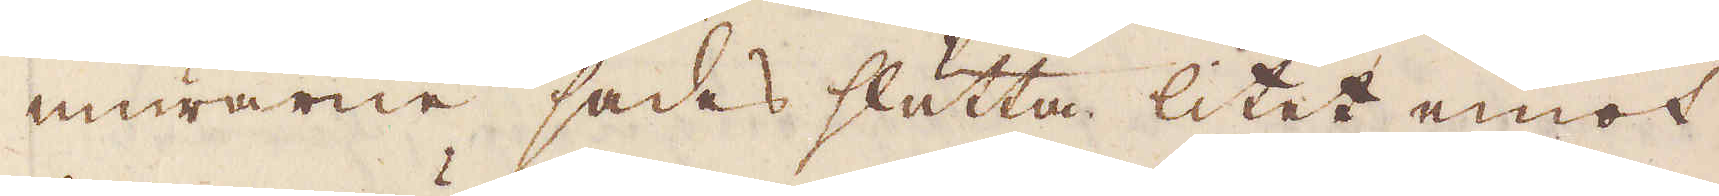murarne sades slutta litet emot
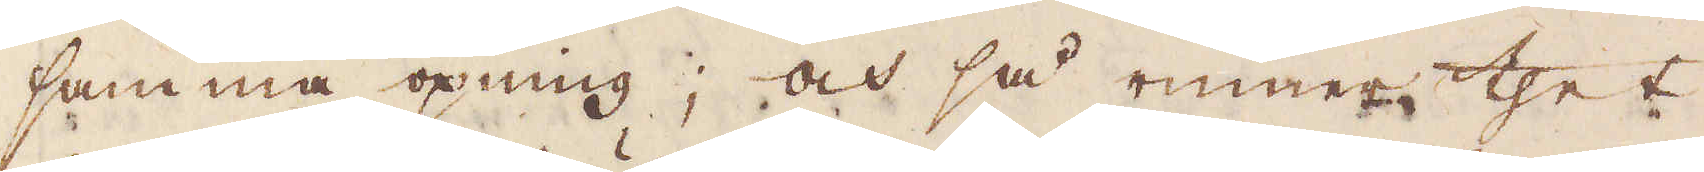samma öpning, och så rinner thet
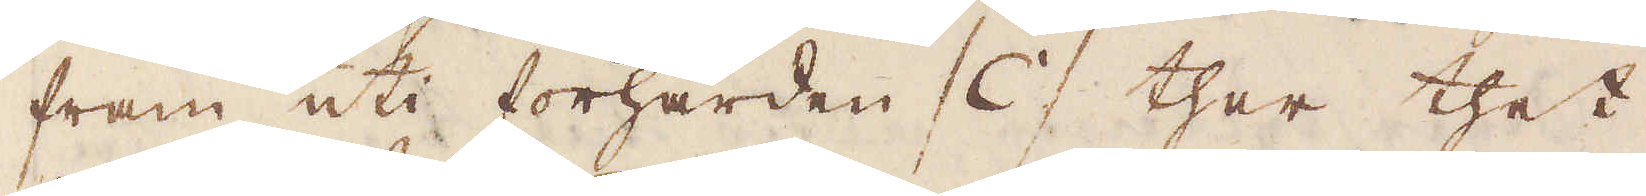fram uti förhärden / C / ther thet
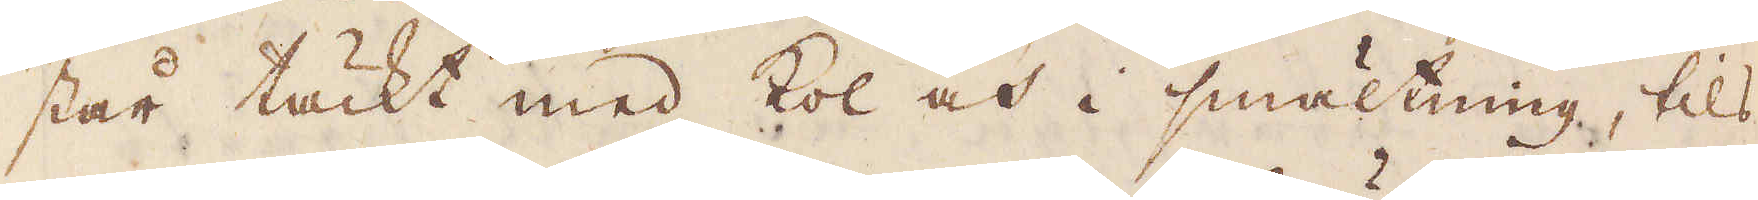står täckt med kol och i smältning, tils
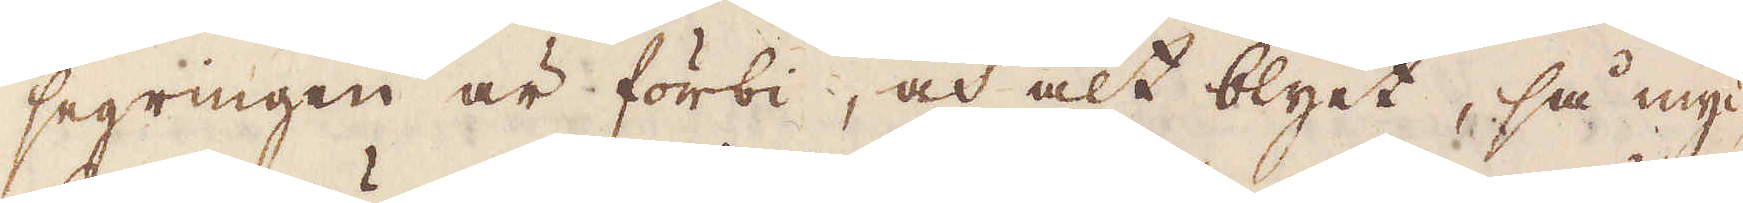segringen är förbi, och alt blyet, så myc-
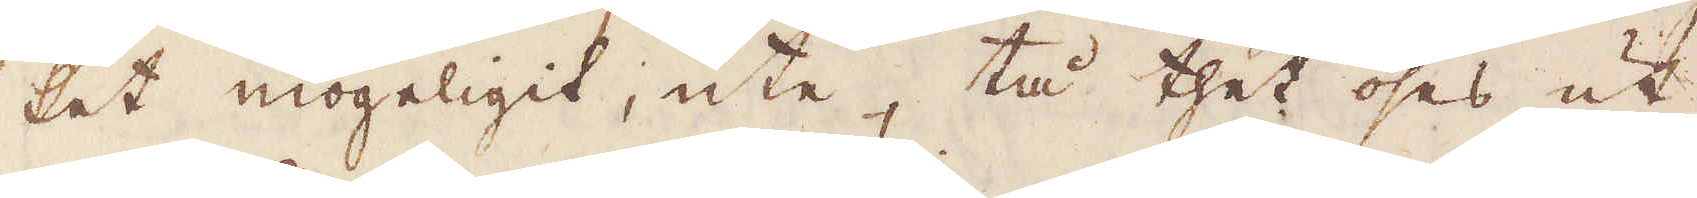ket mögeligit, ute, tå thet öses ut
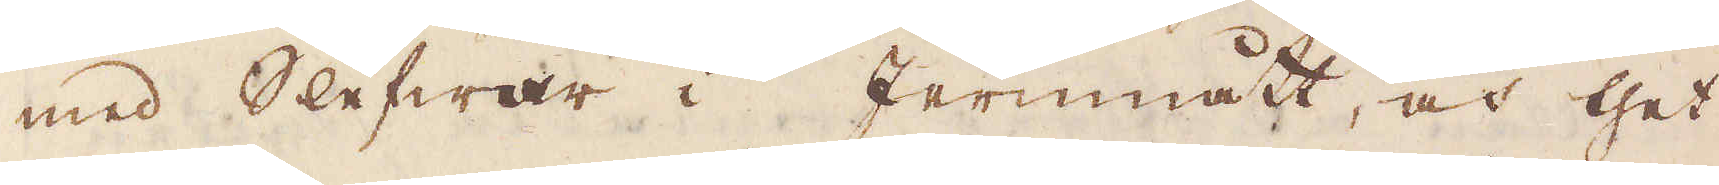med slefwar i Jernmått, och thet
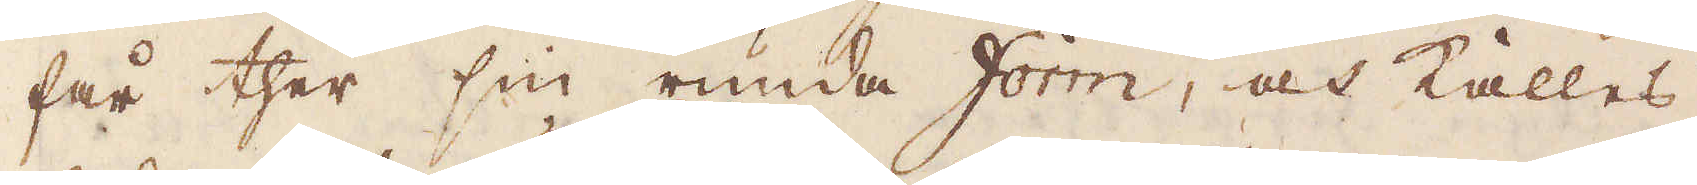får ther sin runda form, och kallas
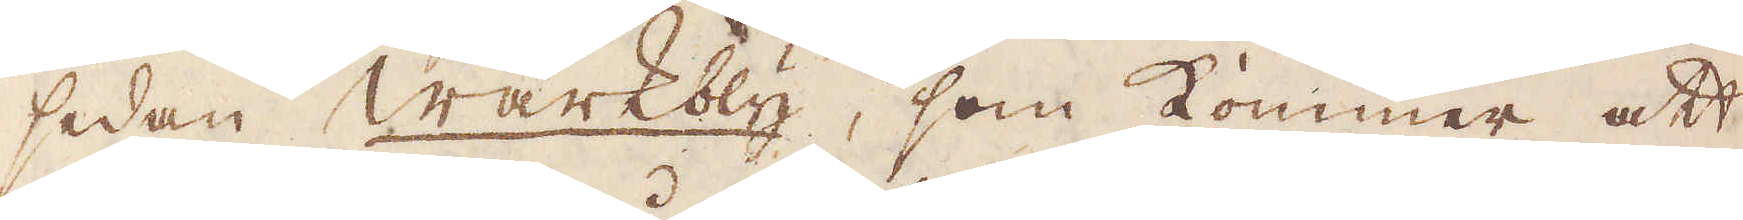sedan wärkbly, som kommer att
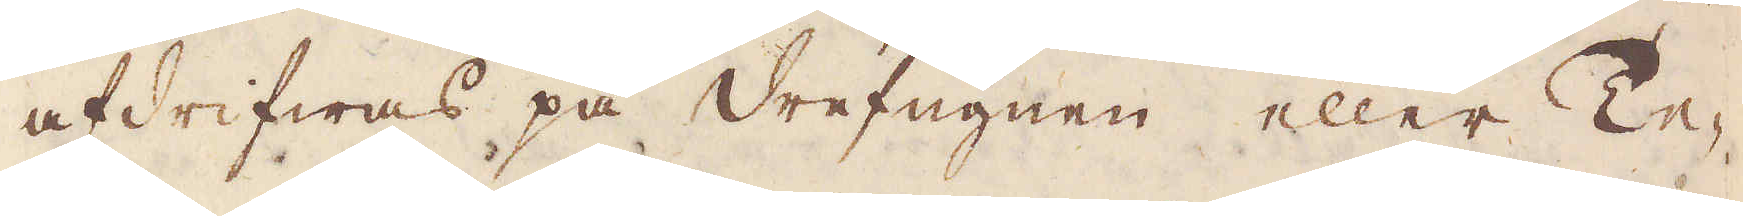afdrifwas på drefugnen eller Te-
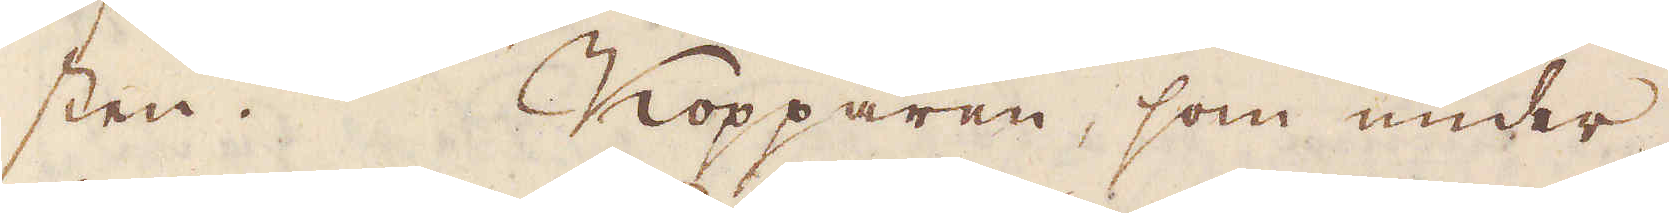sten. Kopparen, som under
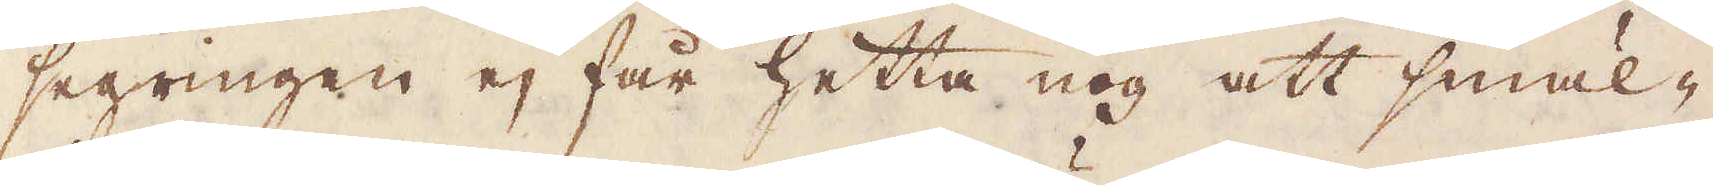segringen ej får hetta nog att smäl-
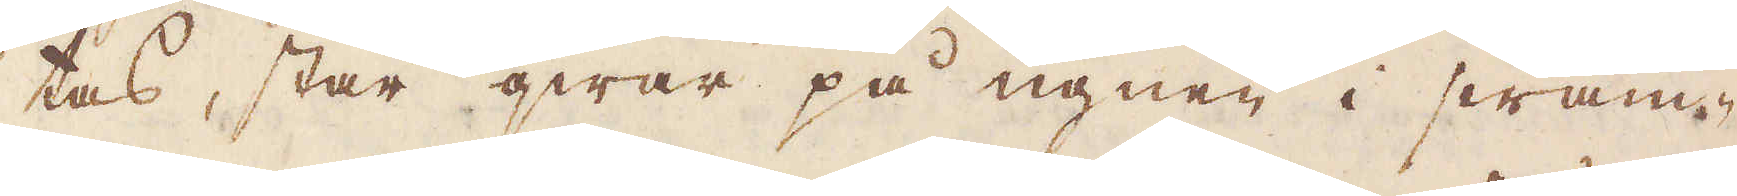tas, står qwar på ugnen i swam-
